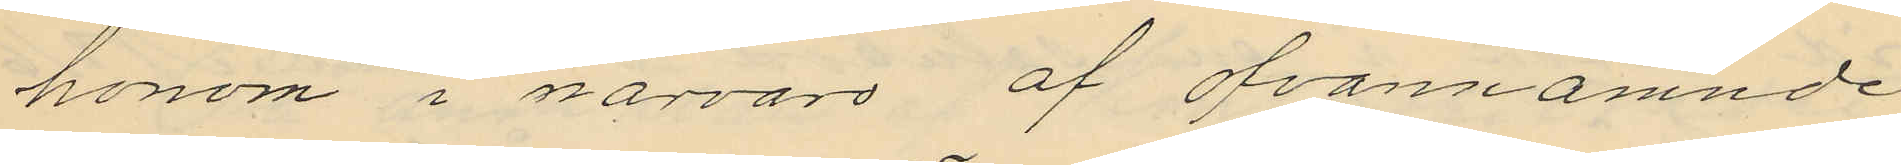honom i närvaro af ofvannämnde
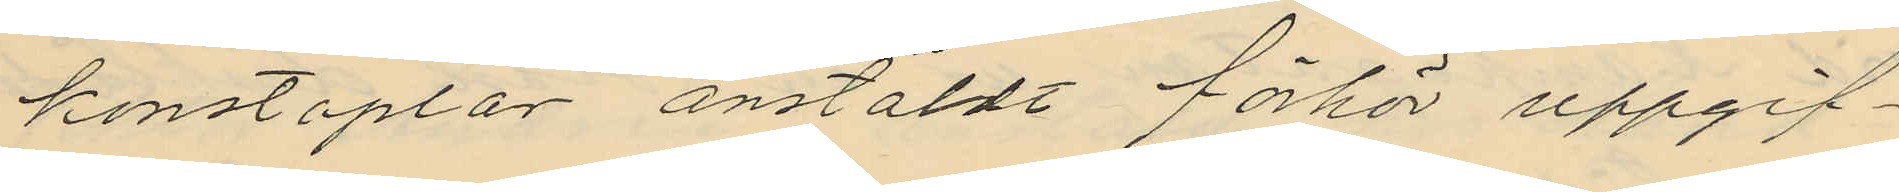konstaplar anstäldt förhör uppgif¬
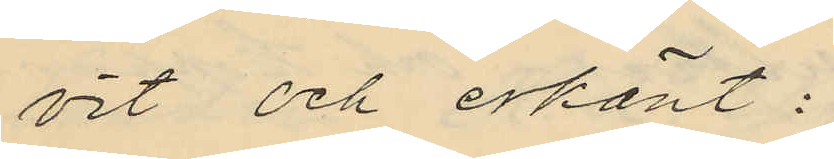vit och erkänt:
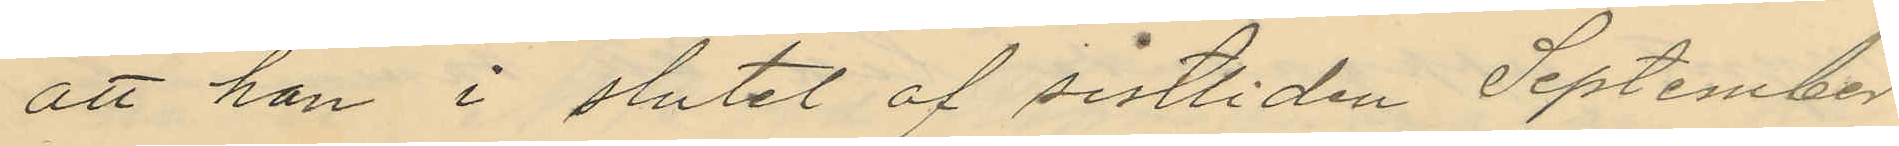att han i slutet af sistliden September
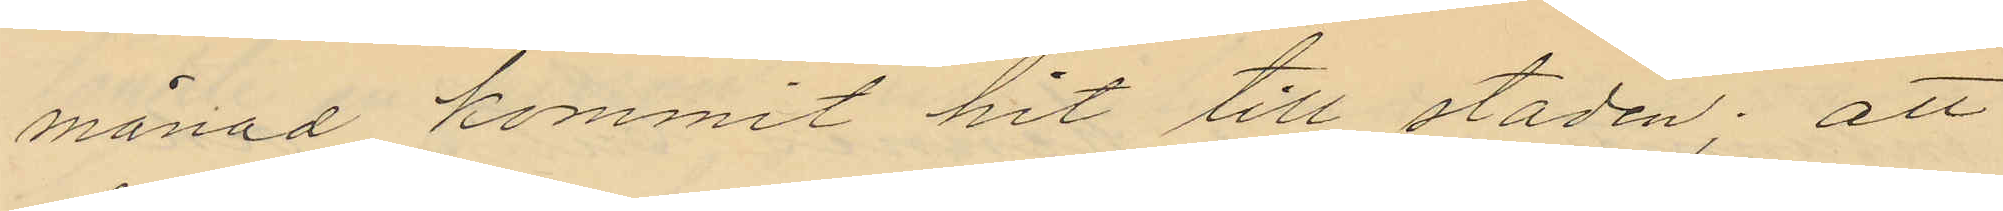månad kommit hit till staden; att
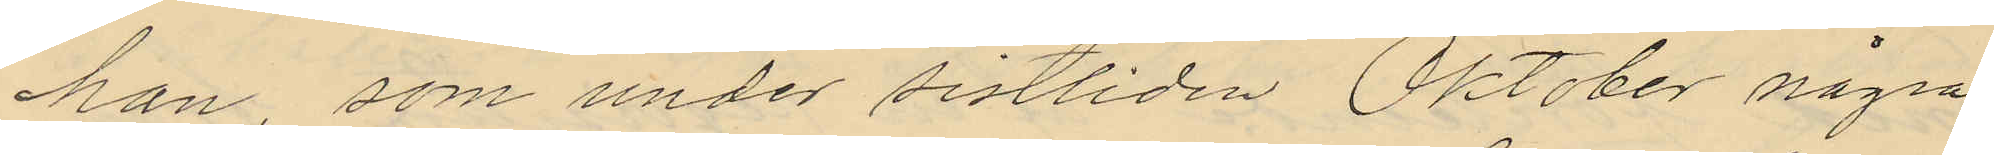han, som under sistliden Oktober några
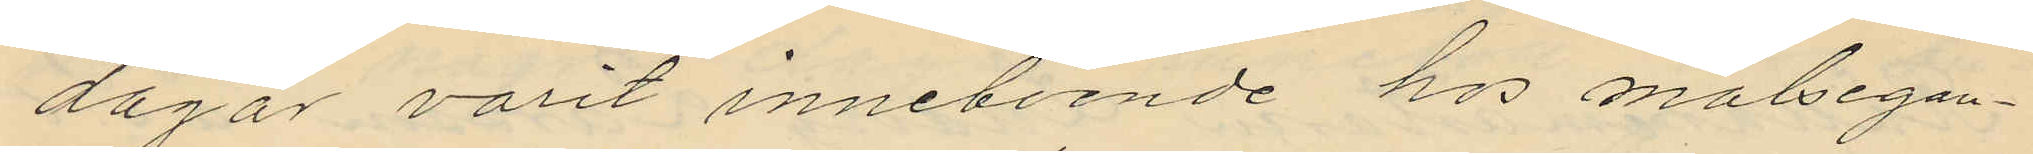dagar varit inneboende hos målsegan¬
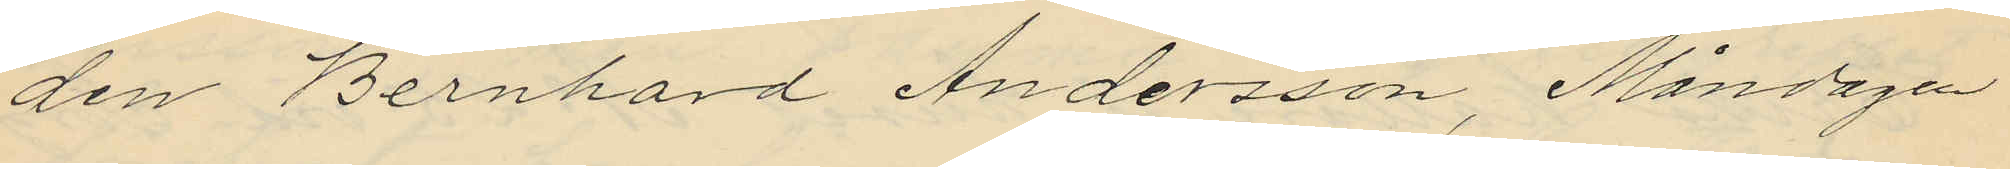den Bernhard Andersson, Måndagen
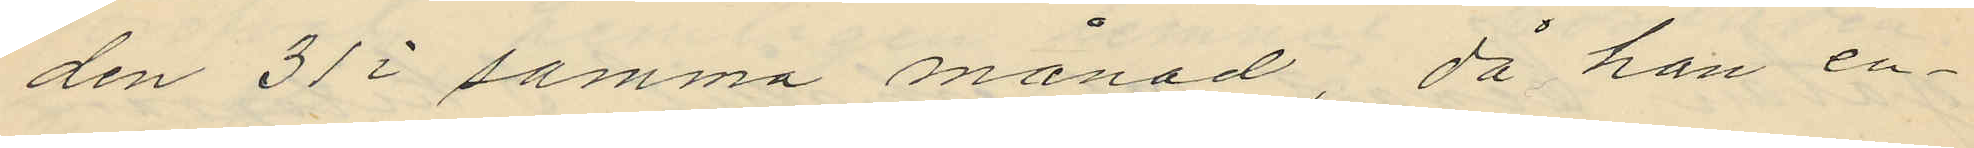den 31 i samma månad, då han en¬
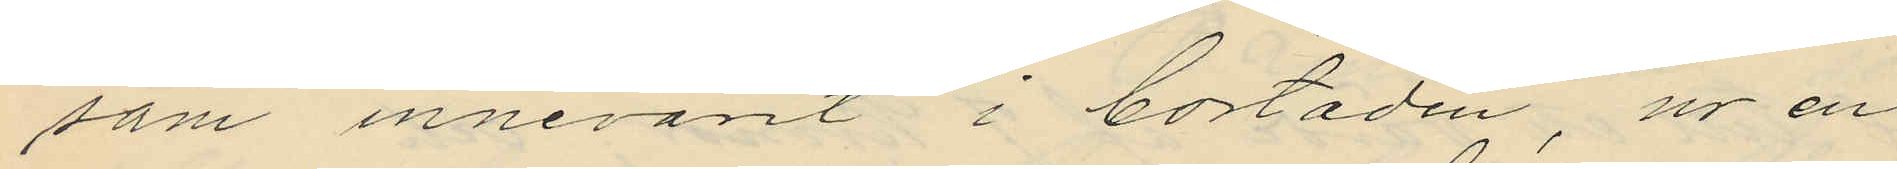som innevarit i bostaden, ur en
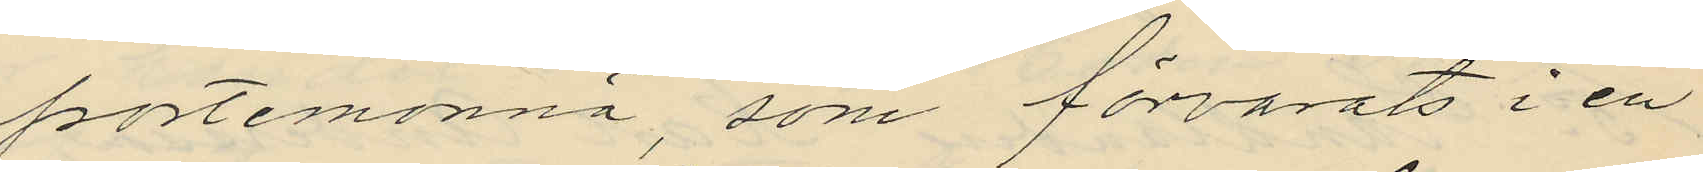portemonnä, som förvarats i en
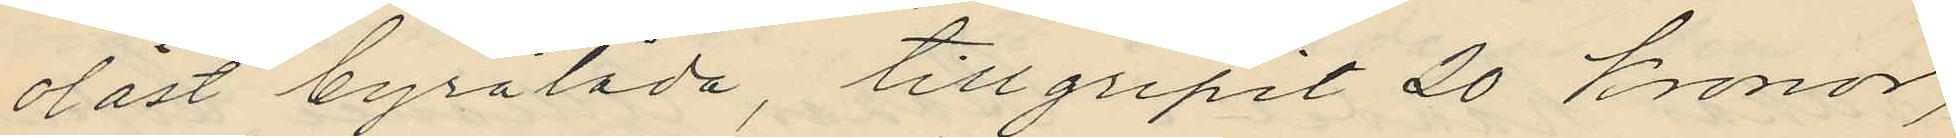olåst byrålåda, tillgripit 20 kronor,
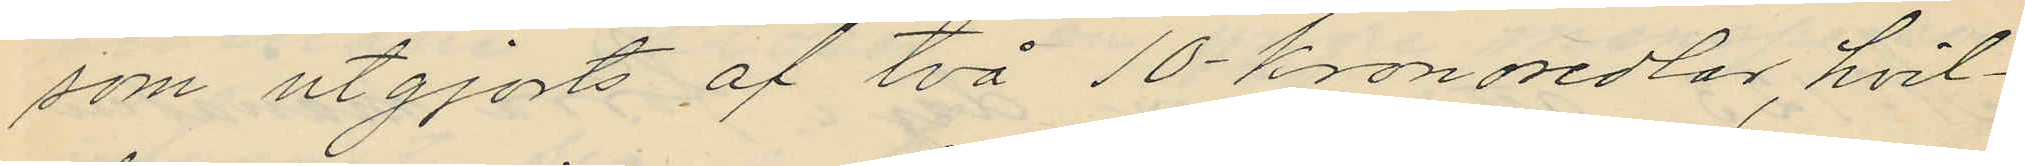som utgjorts af två 10 kronosedlar, hvil¬
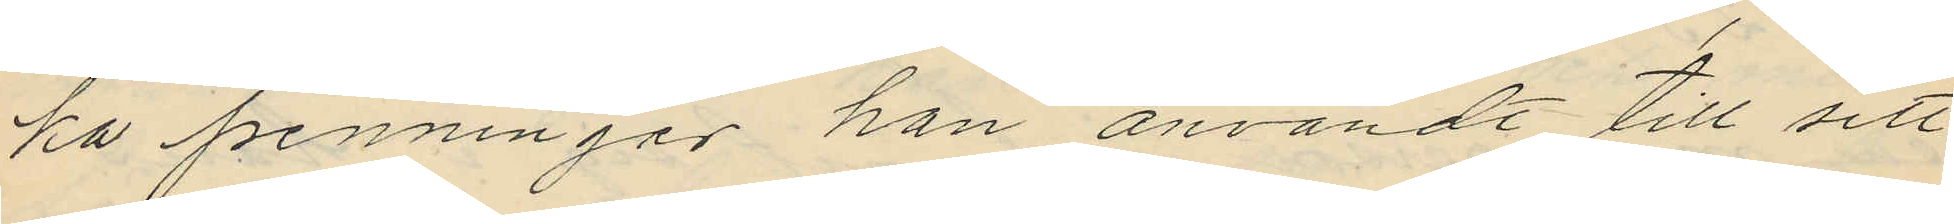ka penningar han användt till sitt
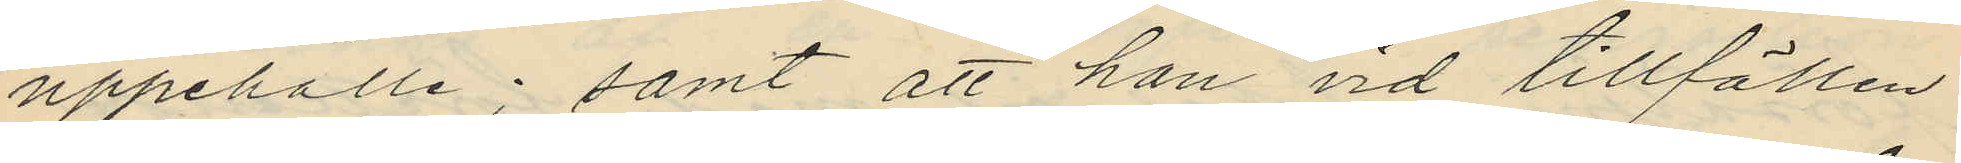uppehälle; samt att han vid tillfällen
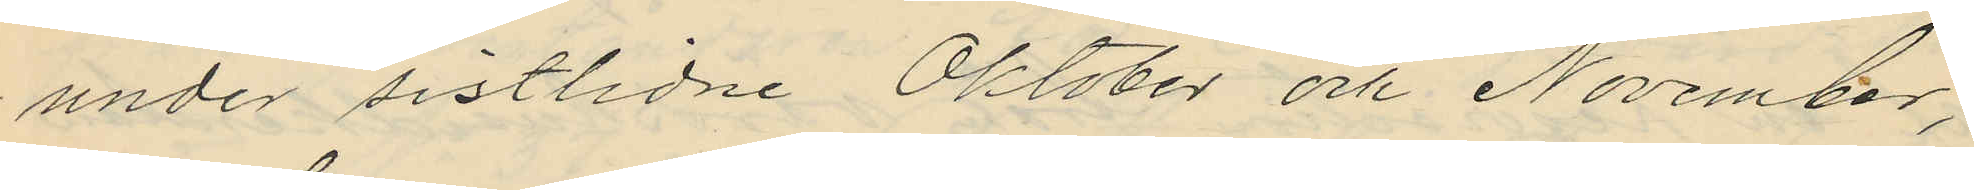under sistlidne Oktober och November,
